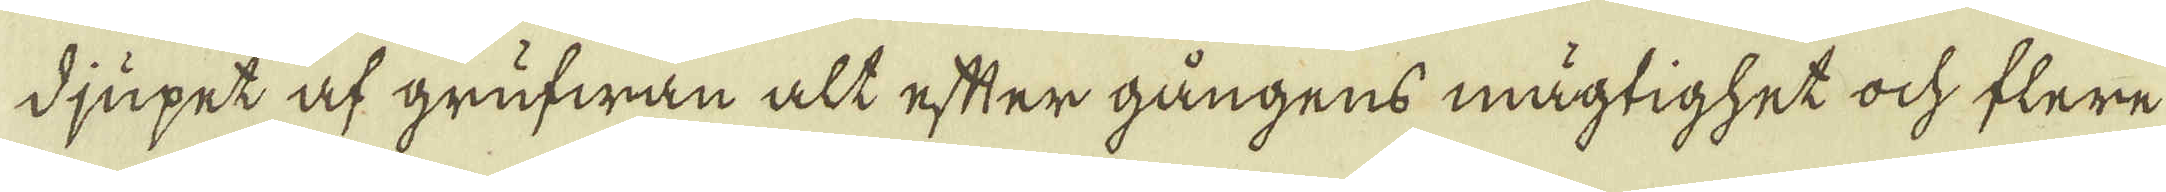djupet af grufwan alt efter gångens mägtighet ock flere
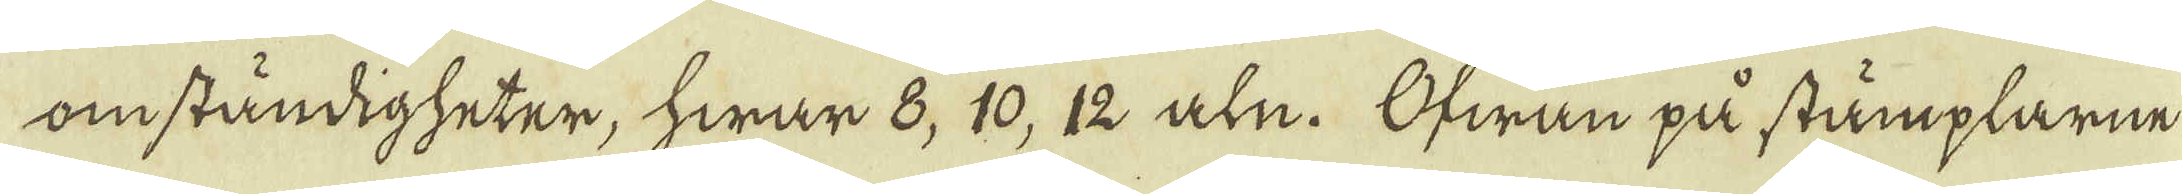omständigheter, hwar 8, 10, 12 aln. Ofwan på stämplarne
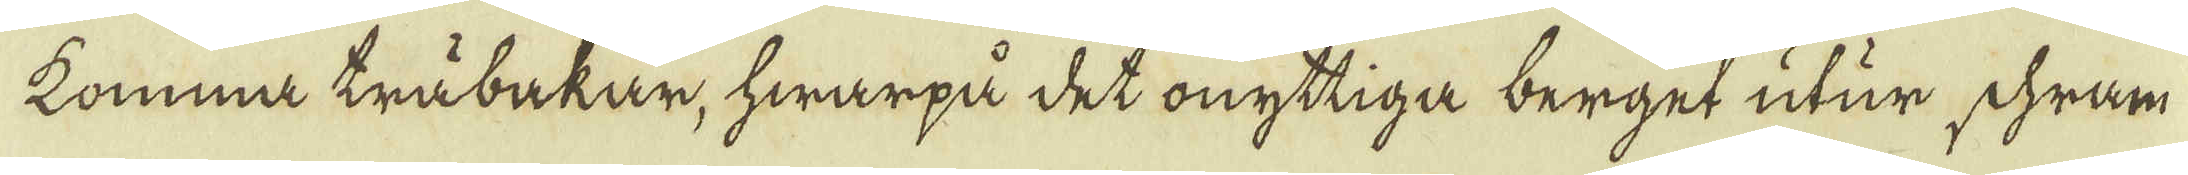komma träbakar, hwarpå det onyttiga berget utur schram
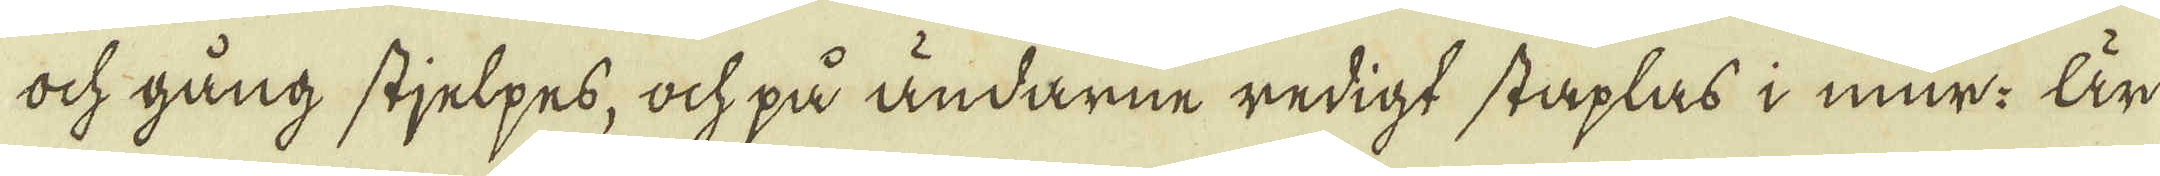och gång stjelpes, ock på ändarne redigt staplas i mur: Är
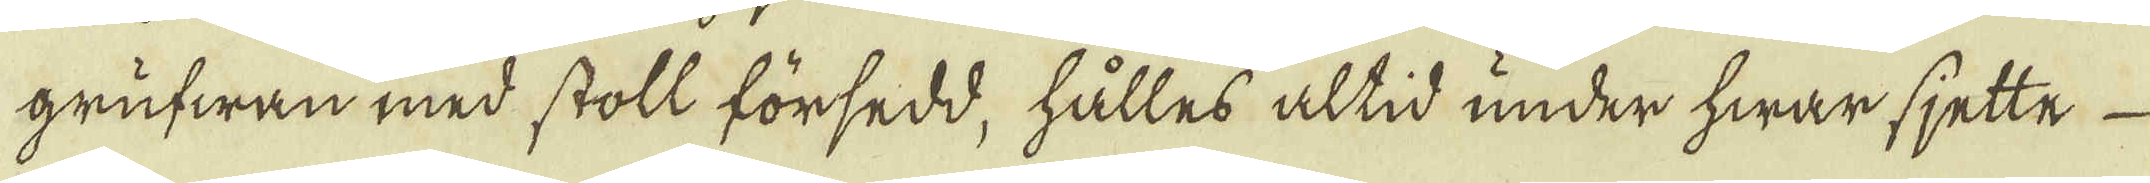grufwan med stoll försedd, hålles altid under hwar sjette
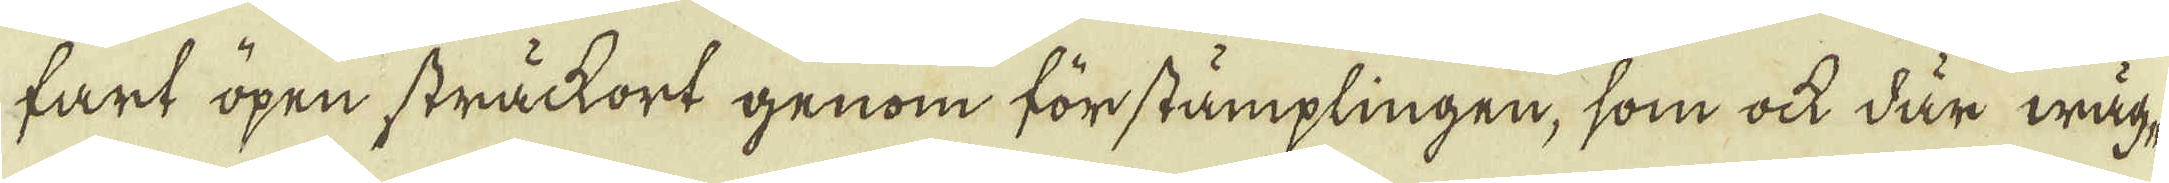fart öpen sträckort genom förstämplingen, som ock där wäg-
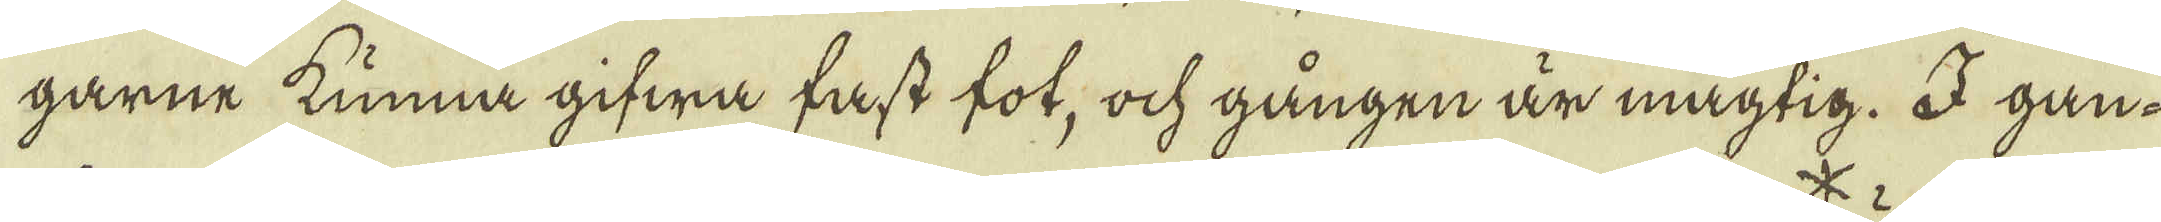garne kunna gifwa fast fot, ock gången är mägtig. I gan-
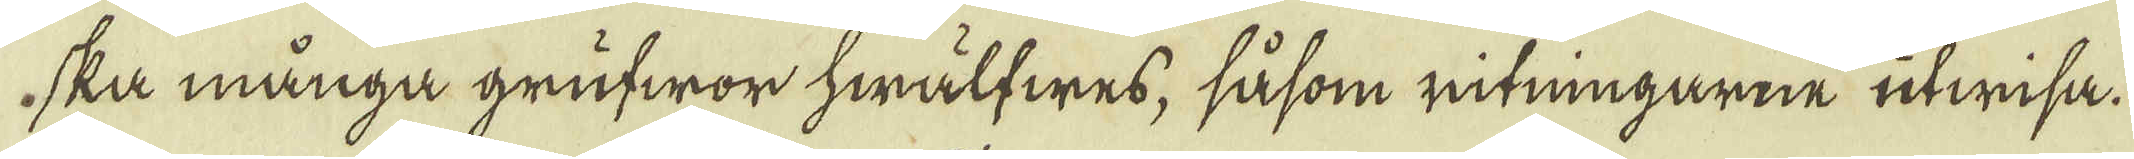ska många grufwor hwälfwes, såsom ritningarne utwisa.
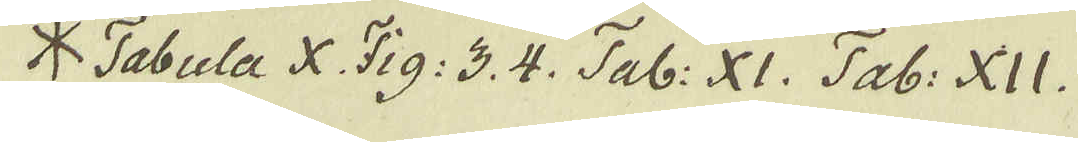* Tabula X. Fig: 3. 4. Tab: XI. Tab: XII.
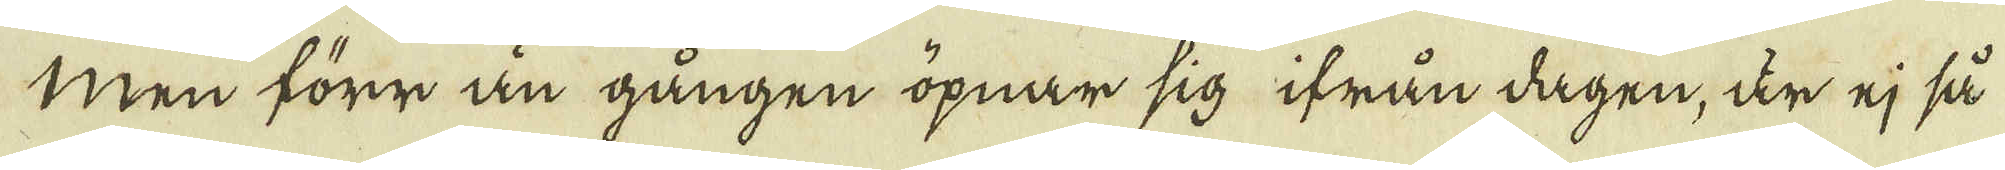Men förr än gången öpnar sig ifrån dagen, är ej så
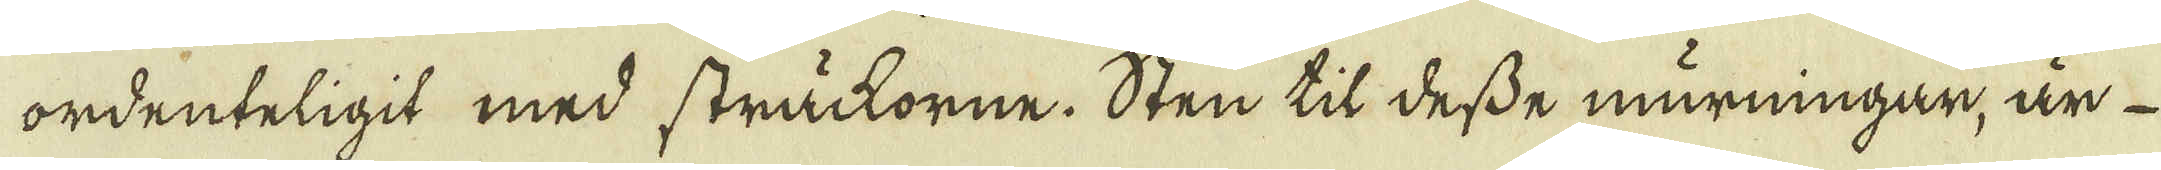ordenteligit med sträckorne. Sten til desse murningar, är
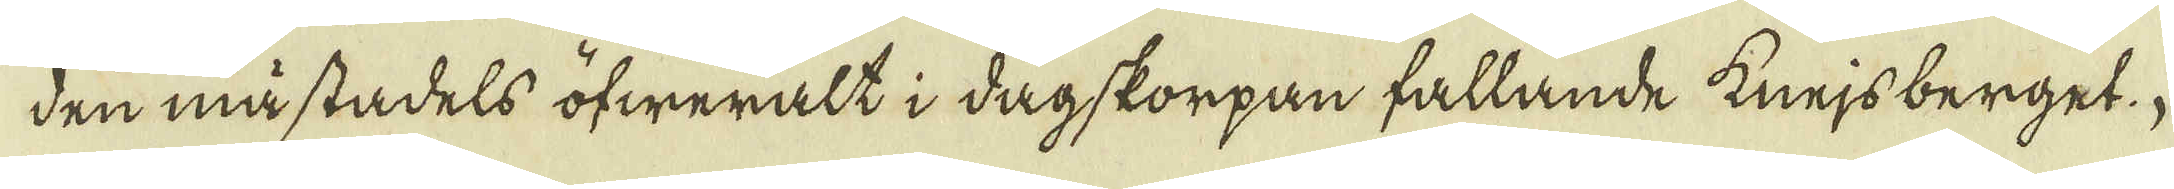den mästadels öfweralt i dagskorpan fallande knejsberget.
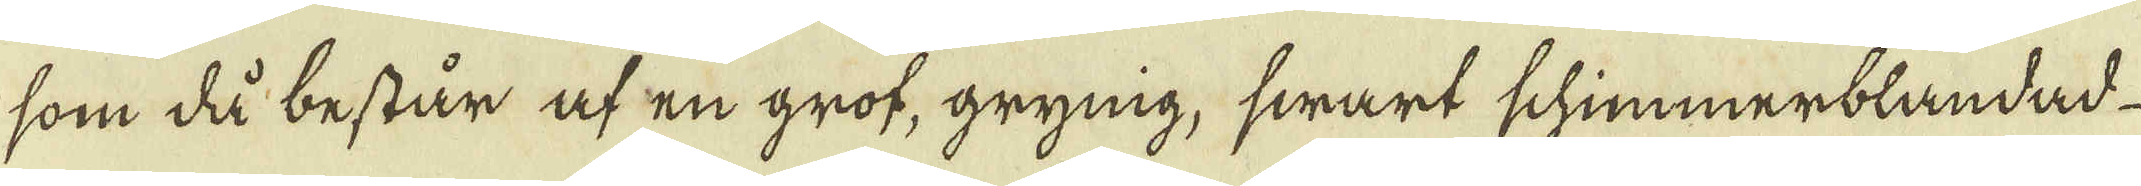som då består af en grof, grynig, swart schimmerblandad
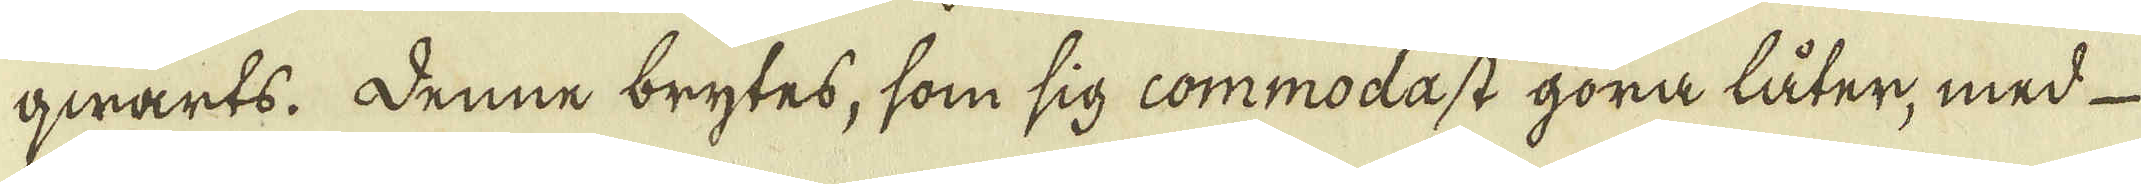qwarts. Denne brytes, som sig commodast göra låter, med
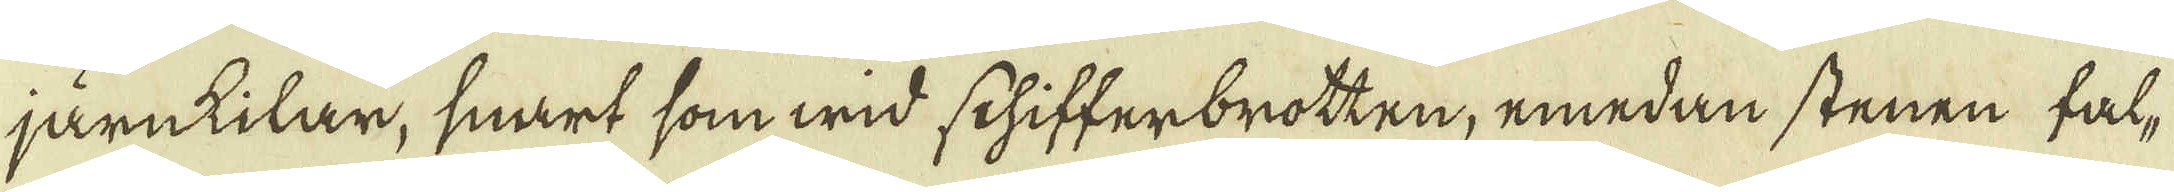järnkilar, snart som wid schifferbrotten, emedan stenen fal-
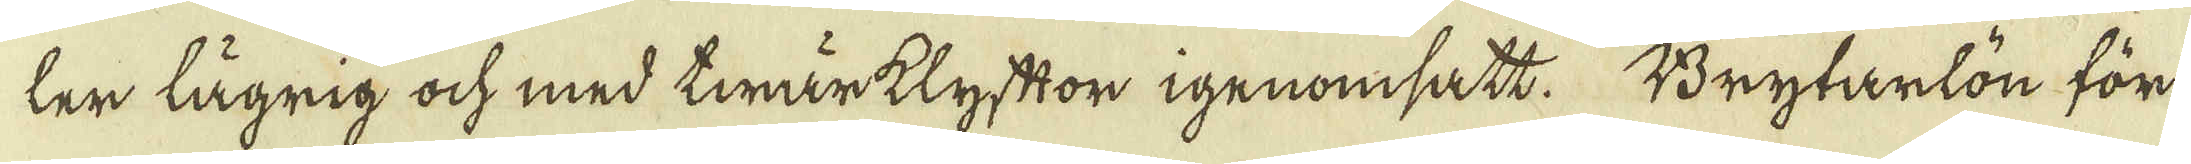ler lägrig ock med twärklyftor igenomsatt. Brytarlön för
